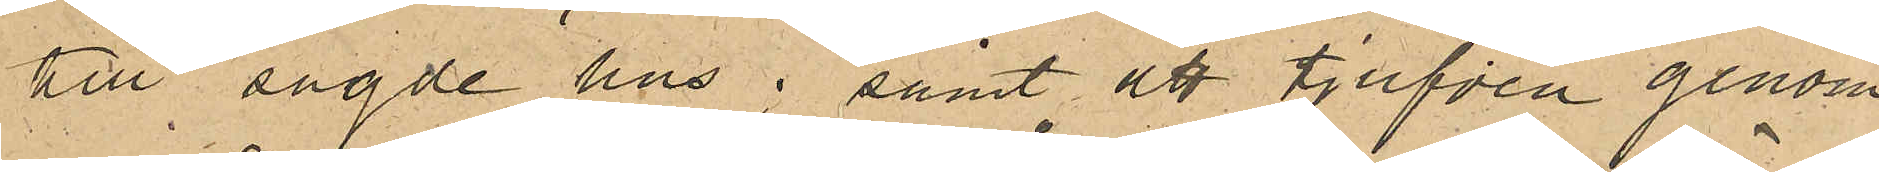till sagde hus; samt att tjufven genom
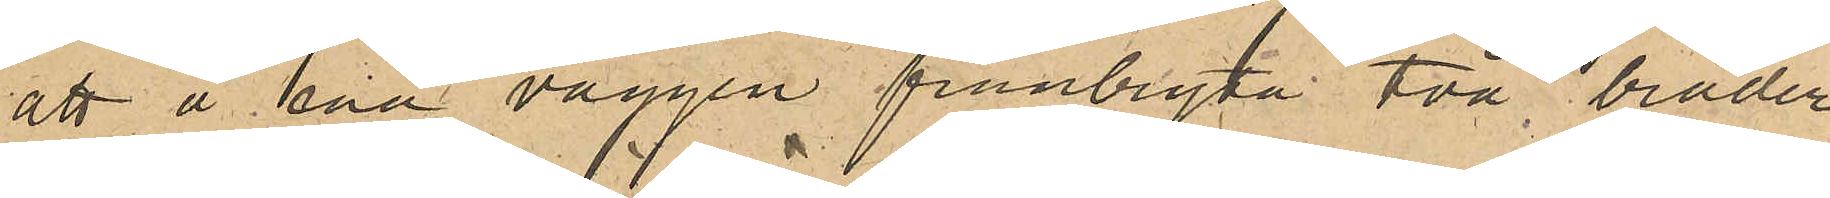att å ena väggen frånbryta två bräder
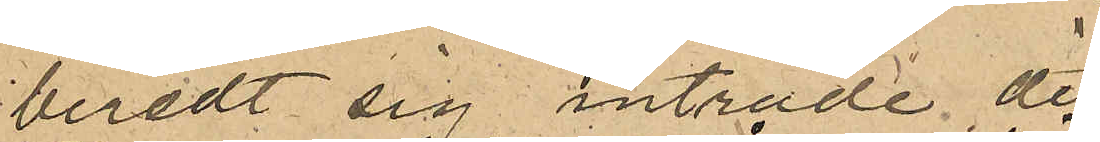beredt sig inträde dit.
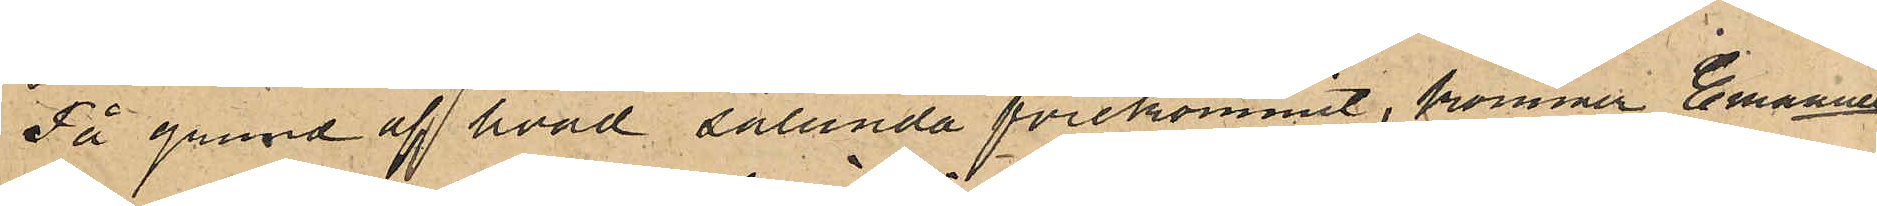På grund af hvad sålunda förekommit, kommer Emanuel
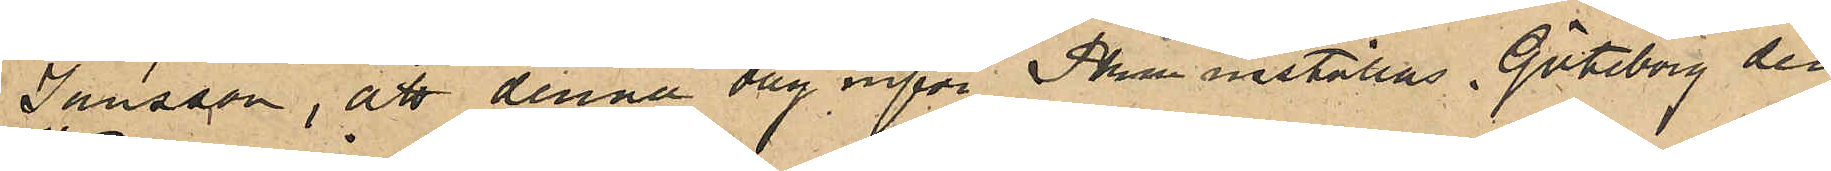Jansson att denna dag inför PKn inställas. Göteborg den
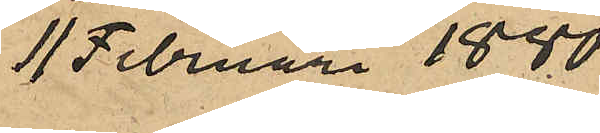11 Februari 1880.
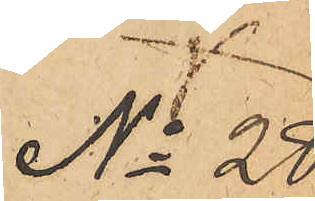No 28.
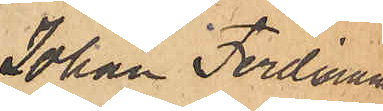Johan Ferdinand
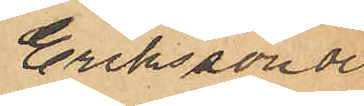Eriksson och
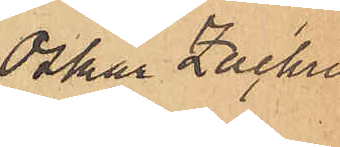Oskar Zachris¬
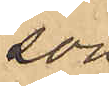son.
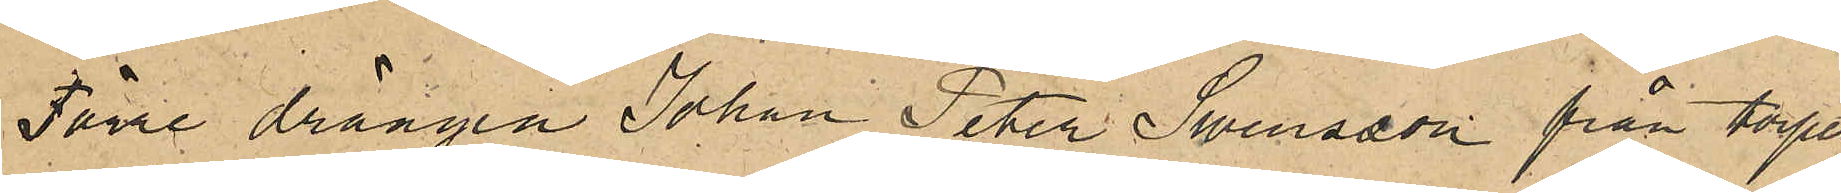Förre drängen Johan Peter Swensson från torpet
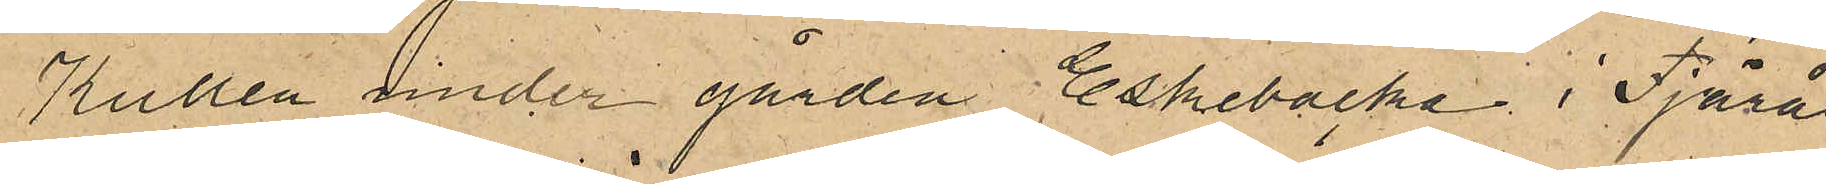Kullen under gården Eskebacka i Fjärås
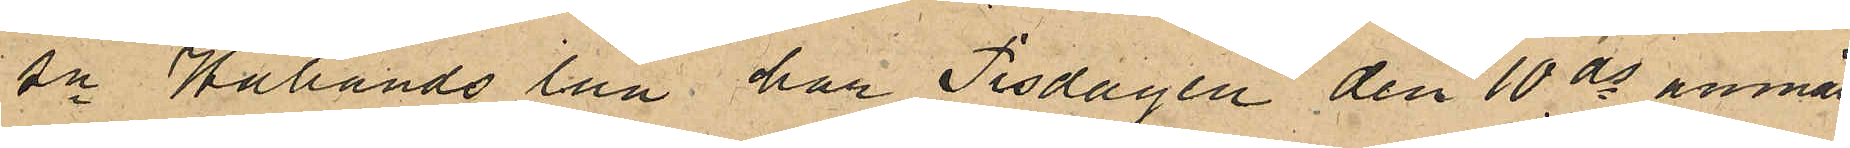sn Hallands län har Tisdagen den 10ds anmält,
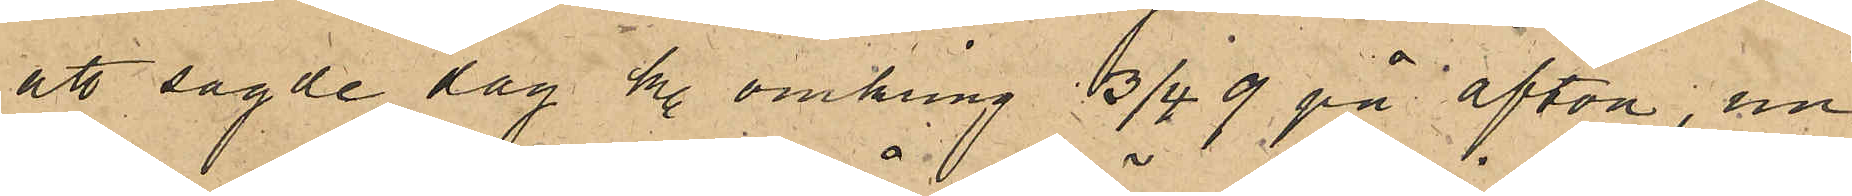att sagde dag kl. omkring 3/4 9 på afton, un¬
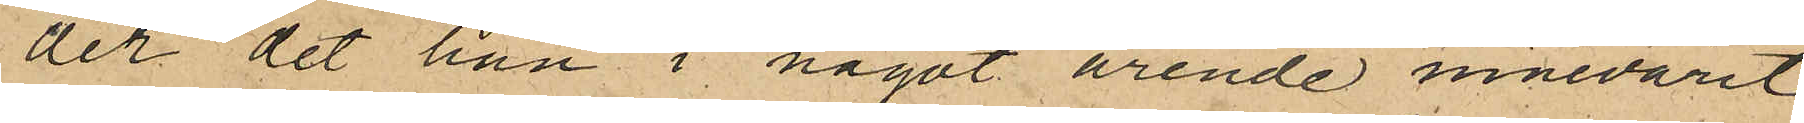der det han i något ärende innevarit
